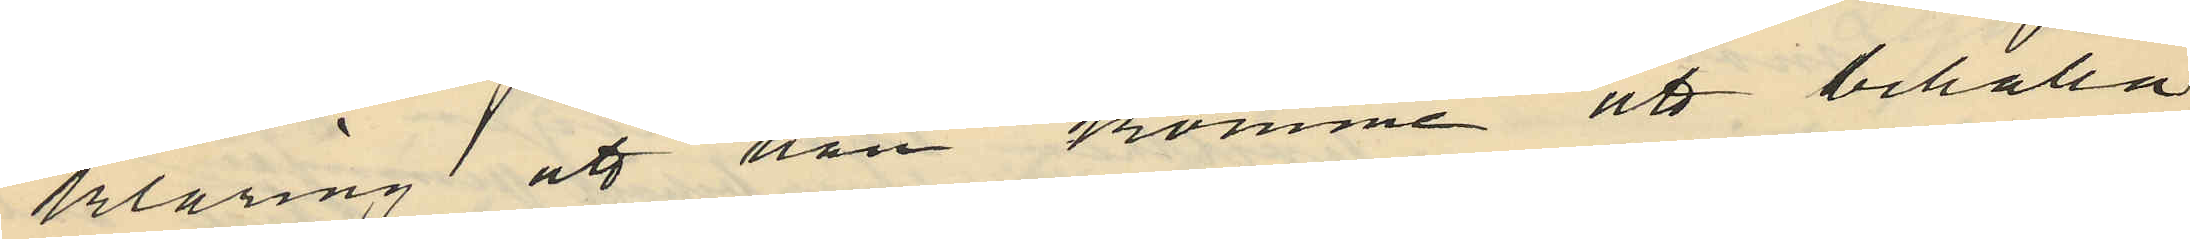klaring att han komme att behålla
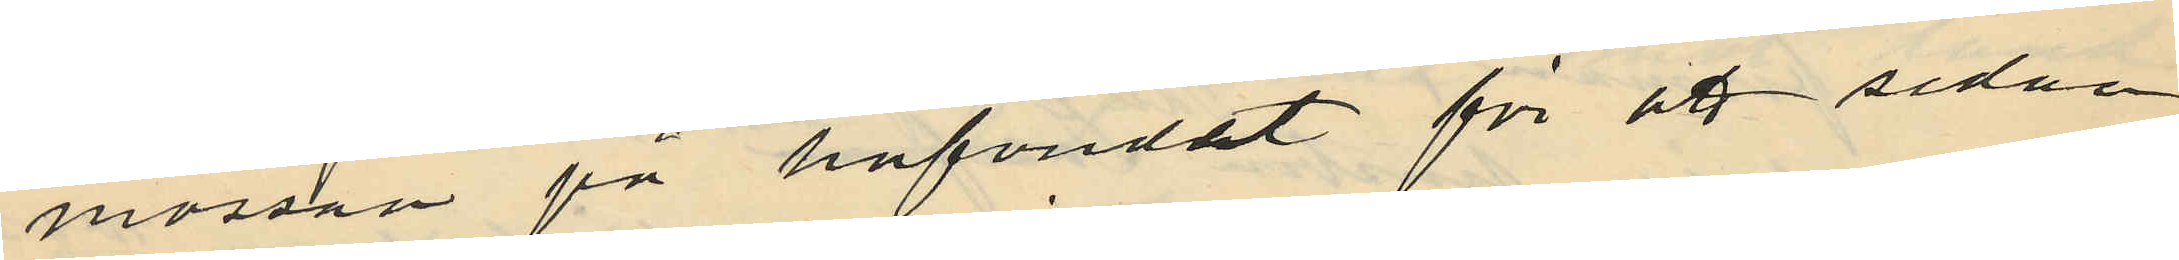mössan på hufvudet för att sedan
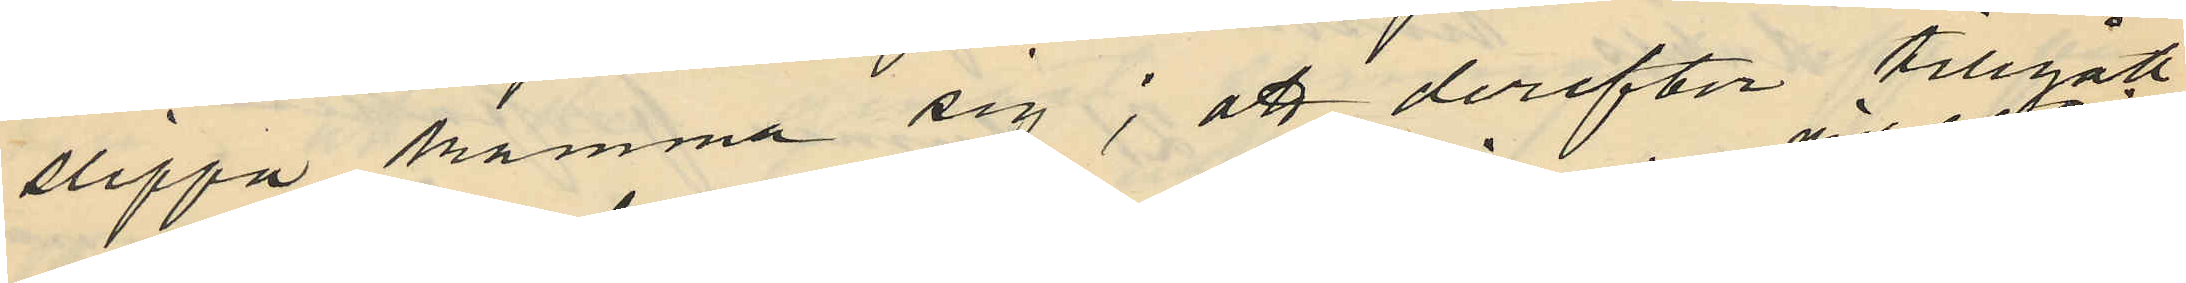slippa kamma sig; att derefter tillgått
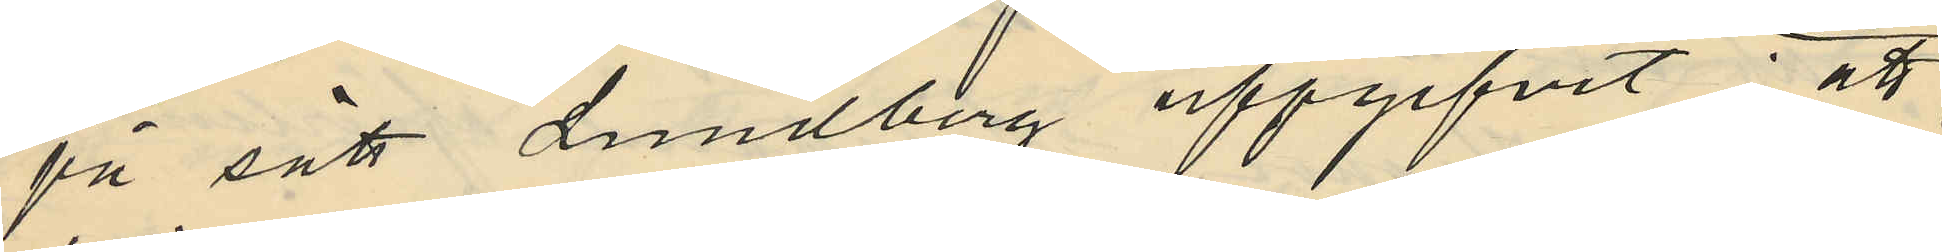på sätt Lundberg uppgifvit: att
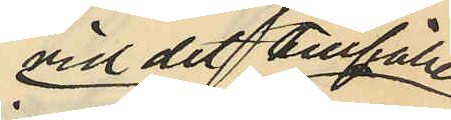vid det tillfälle
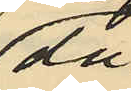då
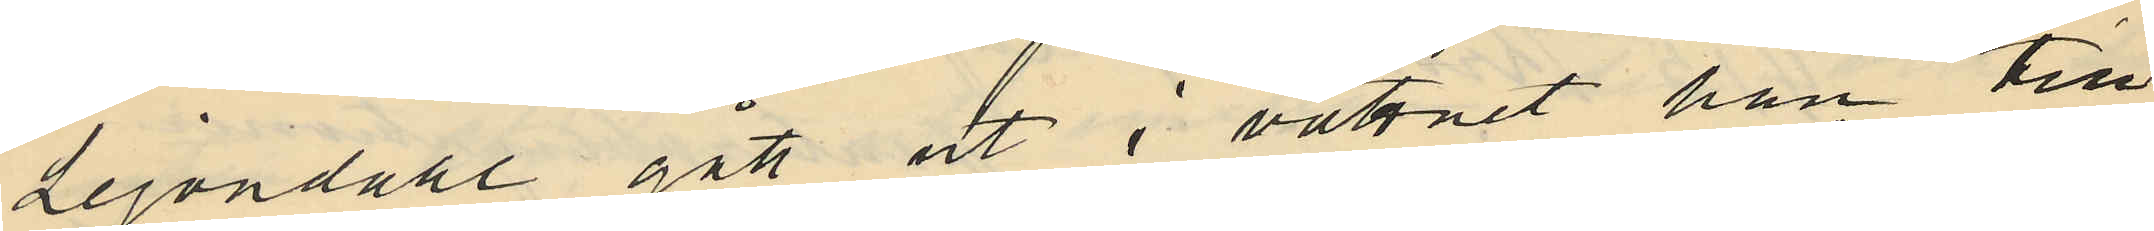Lejondahl gått ut i vattnet han till
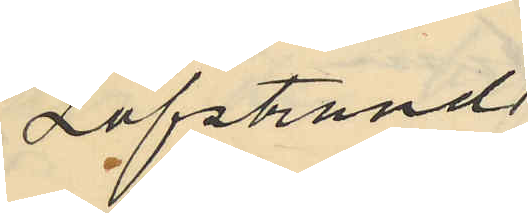Löfstrand
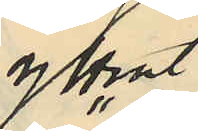yttrat
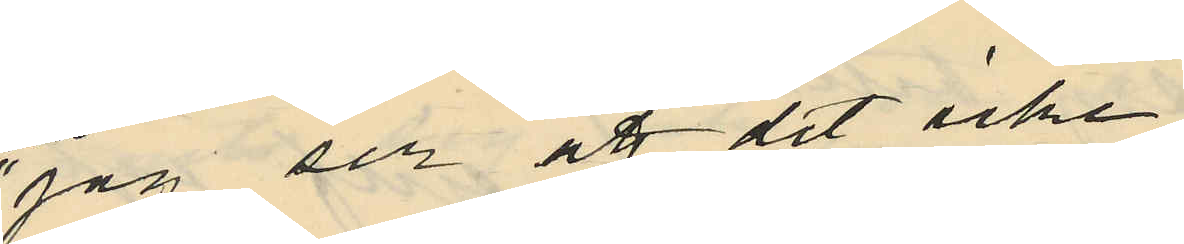"jag ser att det icke
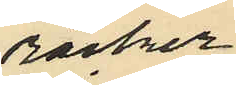räcker
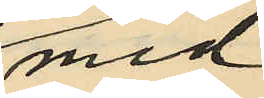med
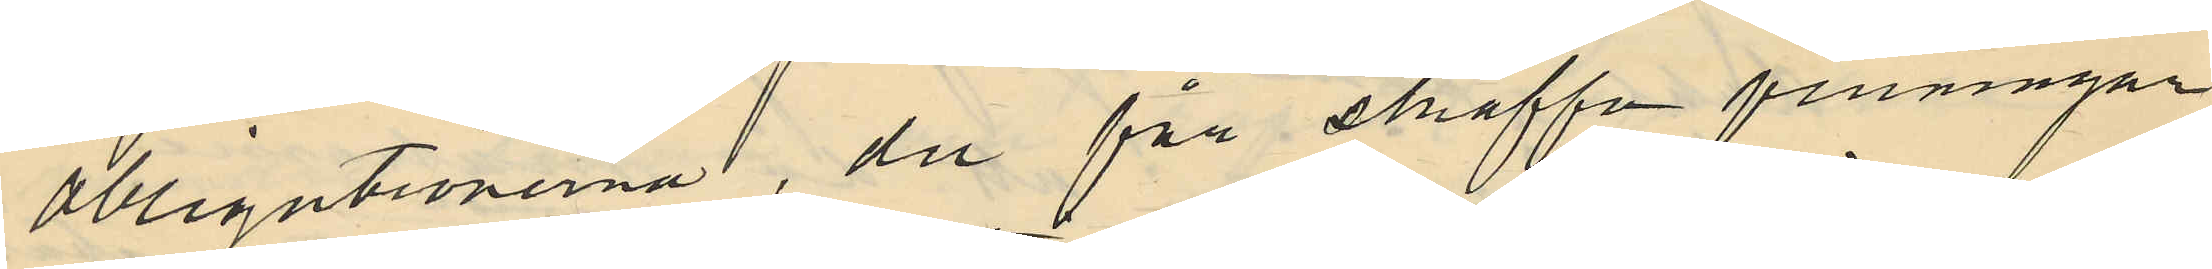obligationerna, du får skraffa penningar
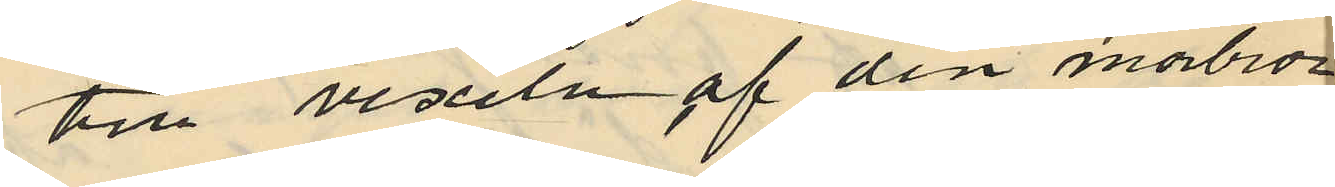till vexeln af din morbror"
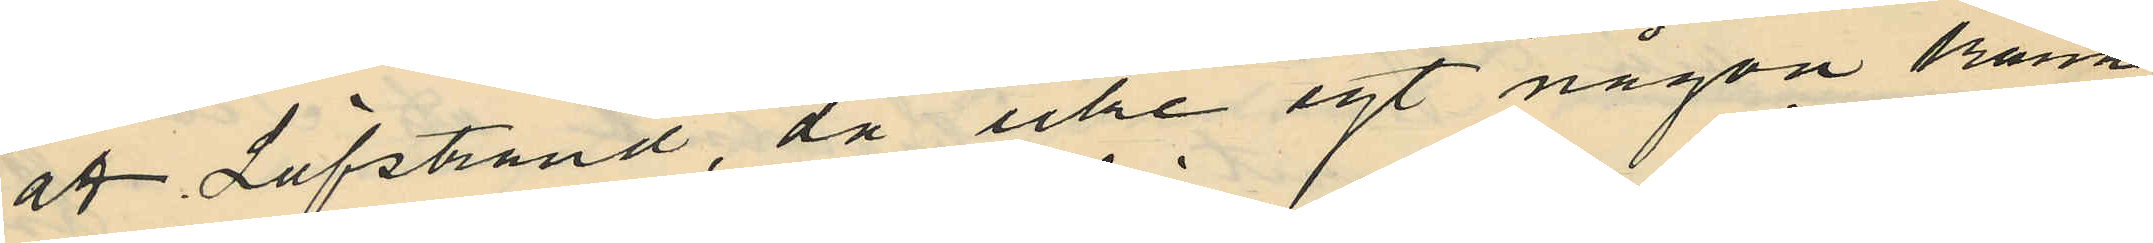att Löfstrand, då icke egt någon känne
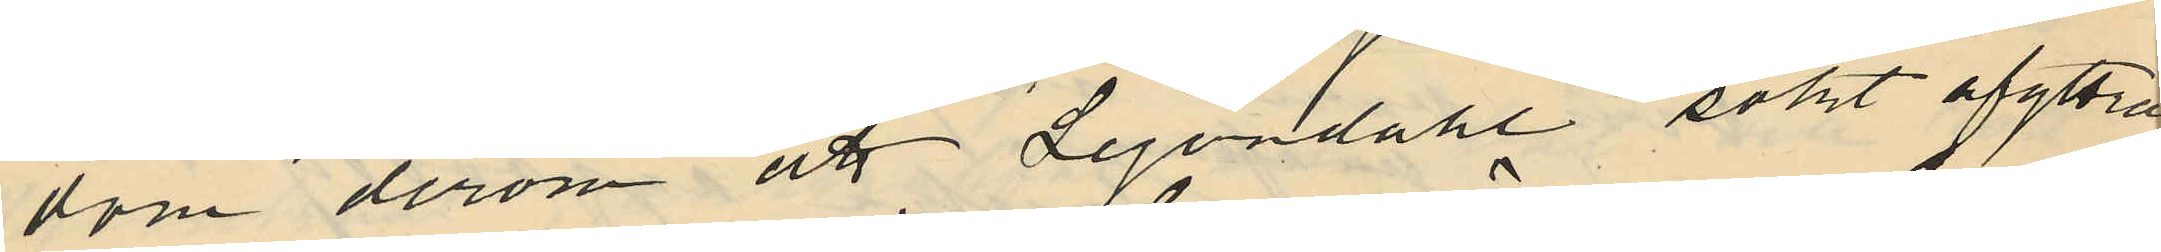dom derom att Lejondahl sökt afyttra
